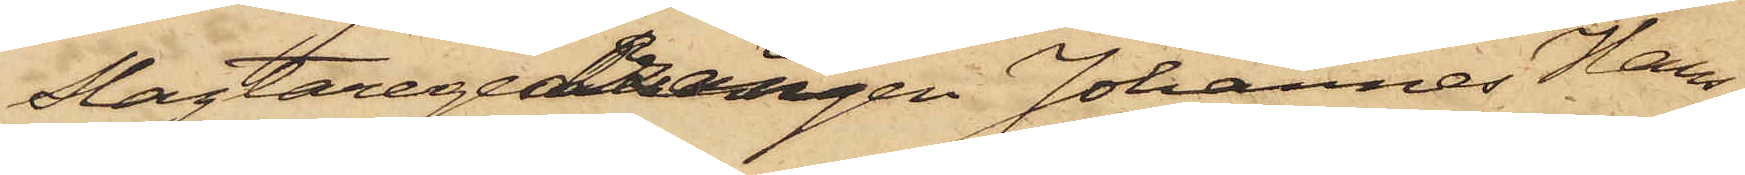Slagtaregesällen Johannes Han¬
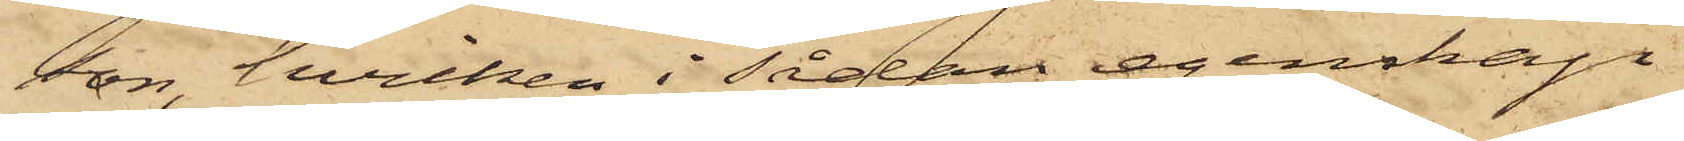son, hvilken i sådan egenskap
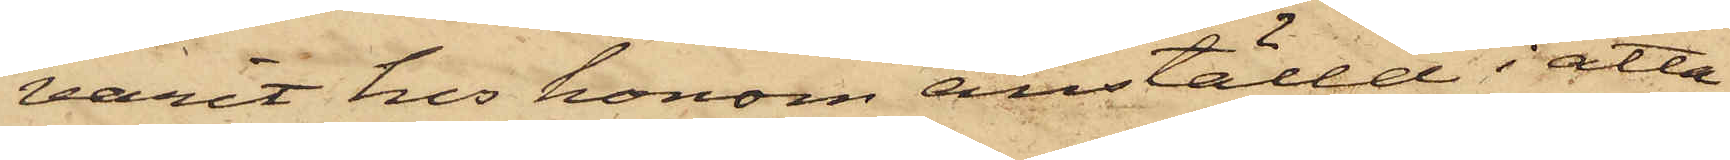varit hos honom anställd i åtta
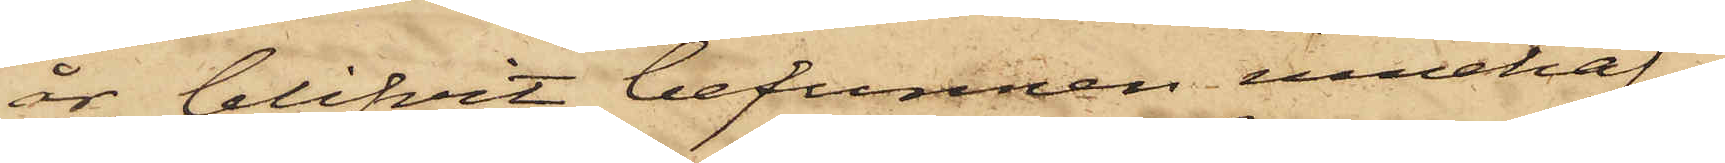år, blifvit befunnen innehaf¬
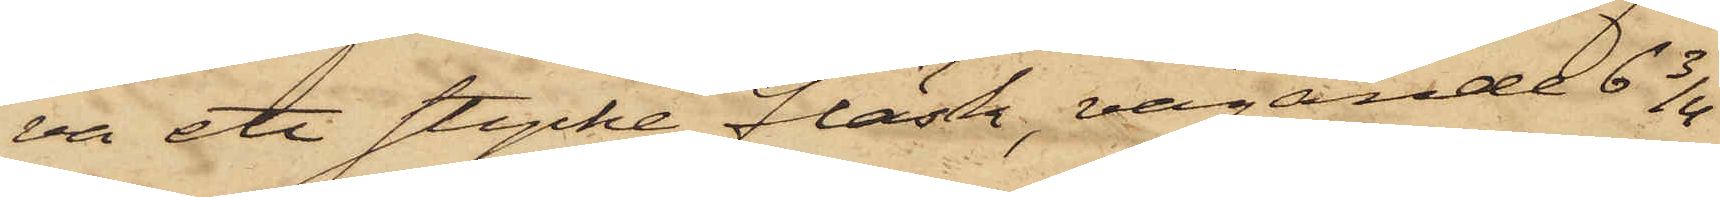va ett stycke fläsk, vägande 6 3/4
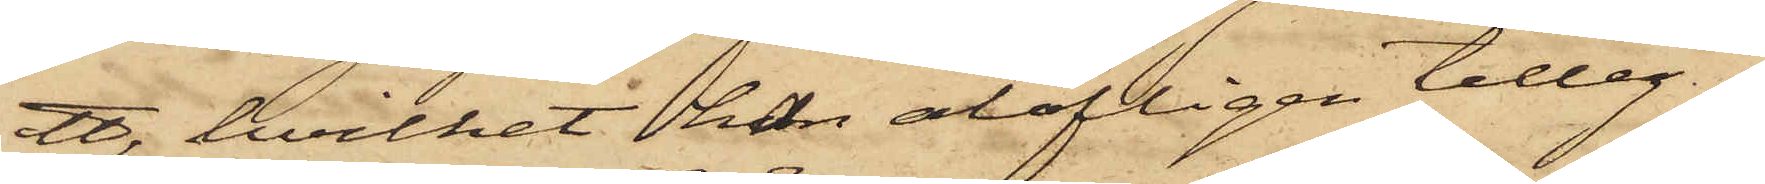℔, hvilket han olofligen tilleg¬
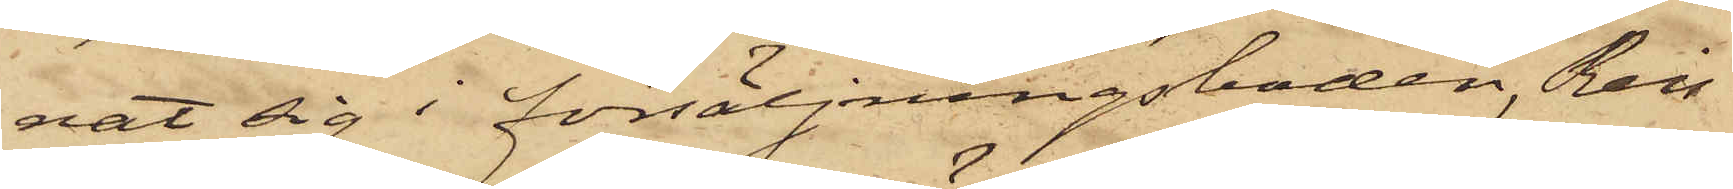nat sig i försäljningsboden, Reis
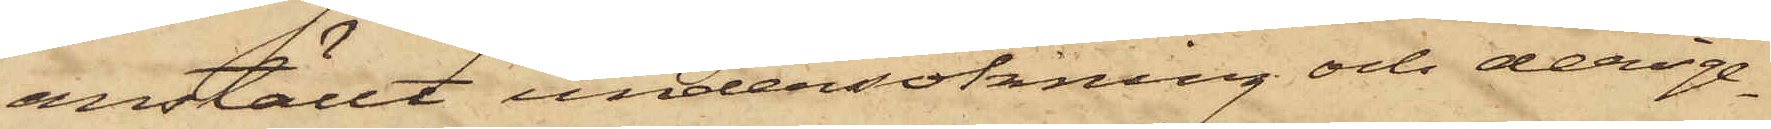anställt undersökning och derige¬
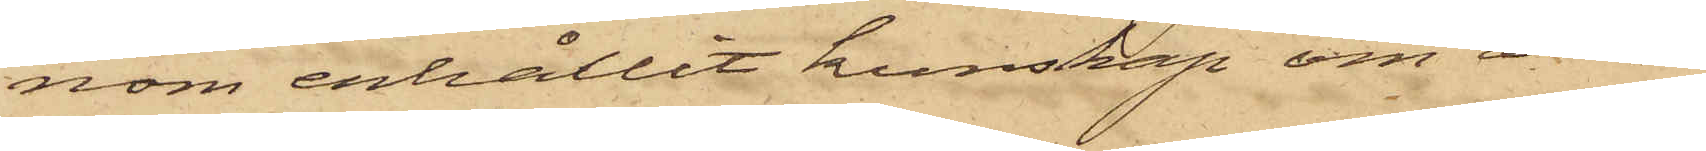nom erhållit kunskap om att
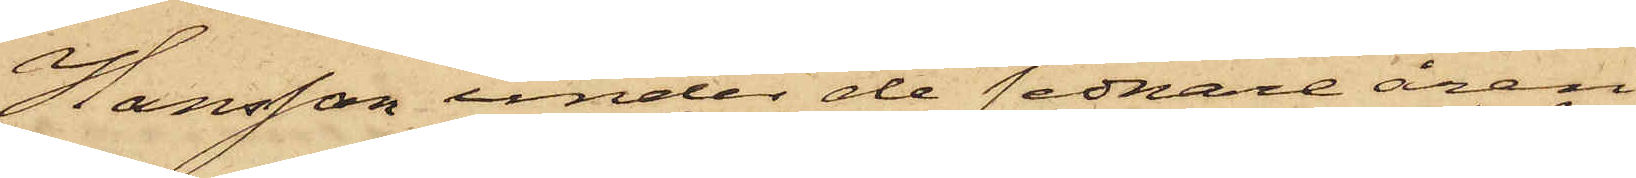Hansson under de sednare åren
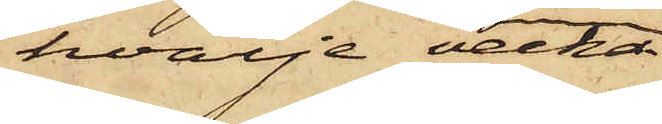hvarje vecka
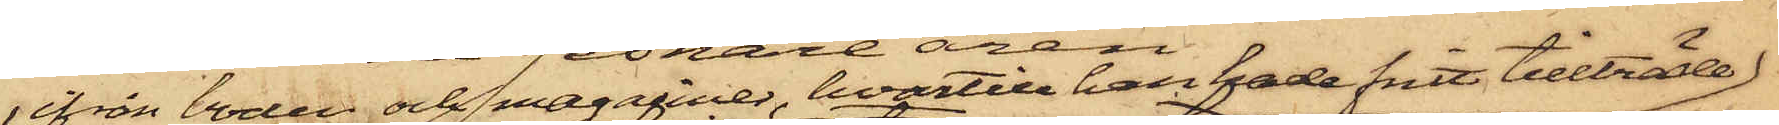ifrån boden och magasiner, hvartill han hade fritt tillträde
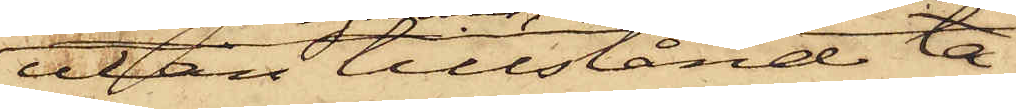utan tillstånd ta¬
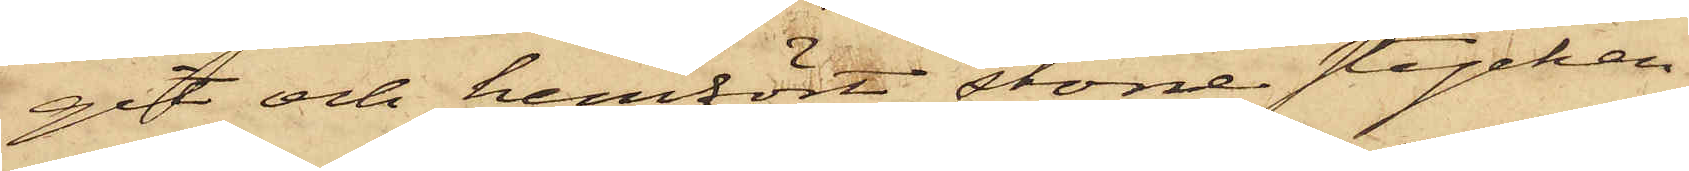git och hemfört större stycken
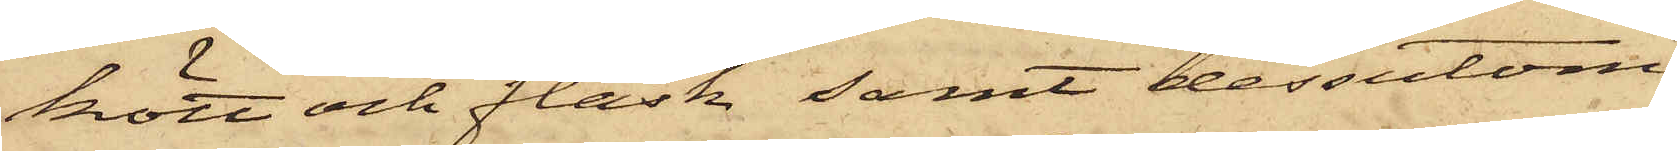kött och fläsk, samt dessutom,
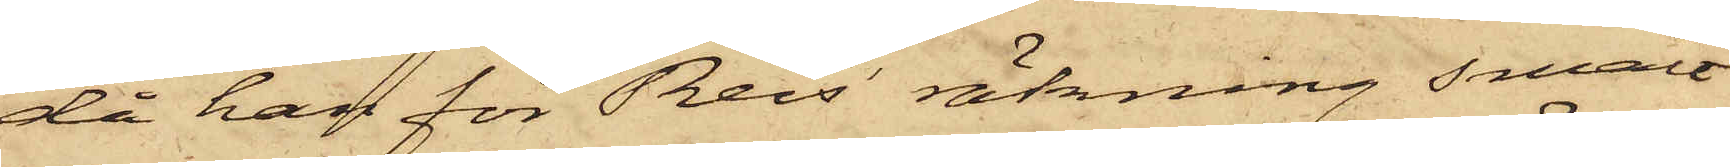då han för Reis' räkning smält
